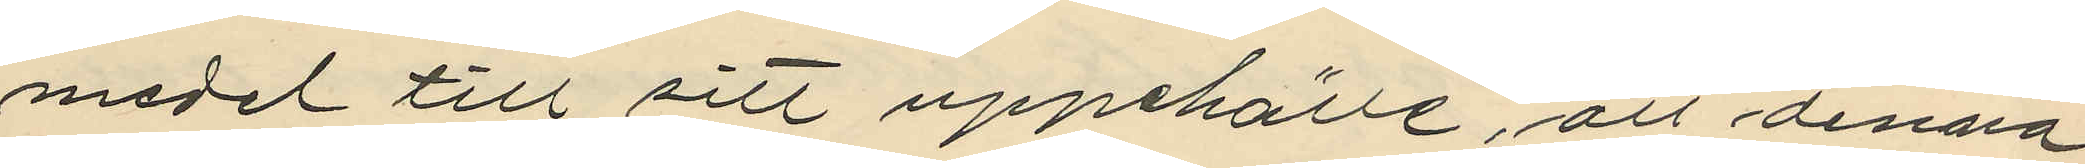medel till sitt uppehälle, att denna
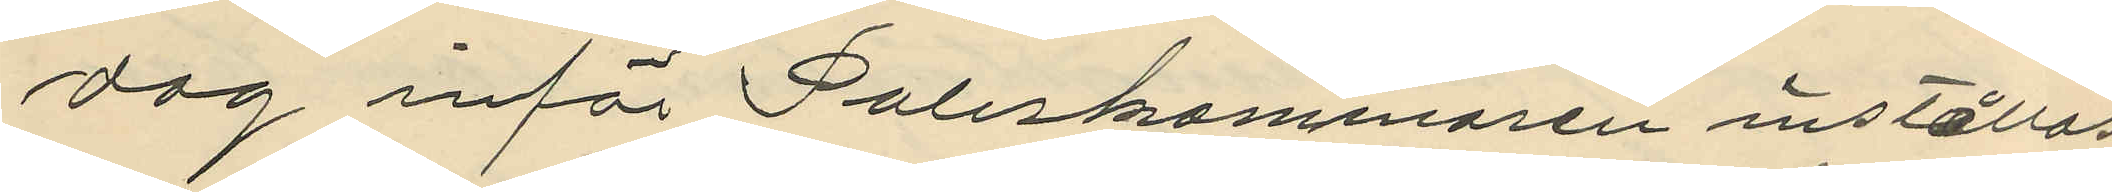dag inför Poliskammaren inställas
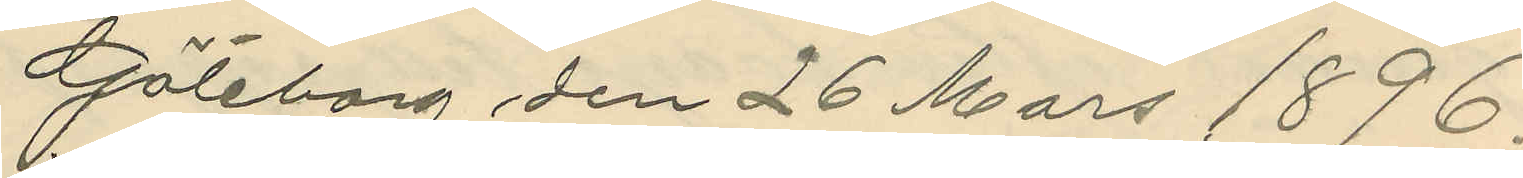Göteborg den 26 Mars 1896.
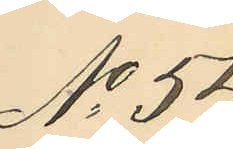No 54
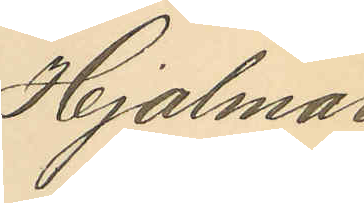Hjalmar
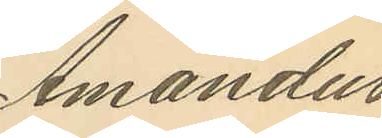Amandus
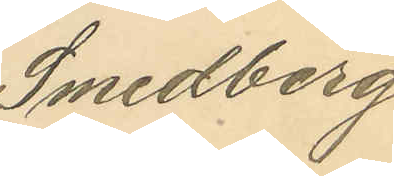Smedberg.
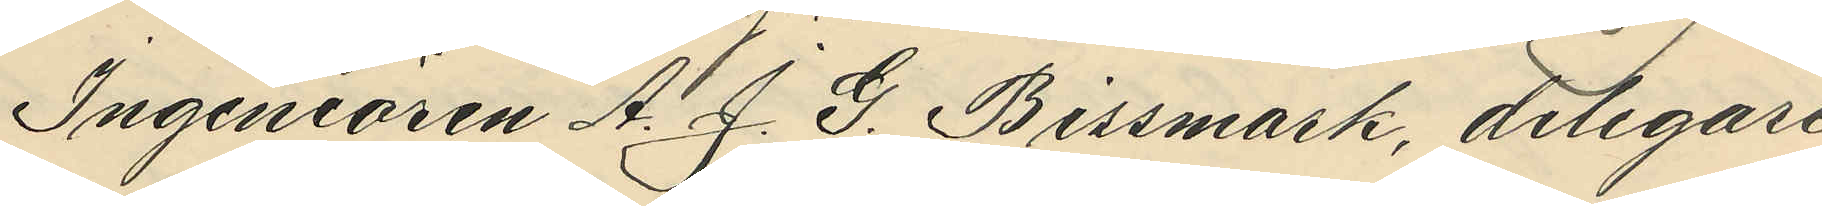Ingeniören A. J. G. Bissmark, delegare
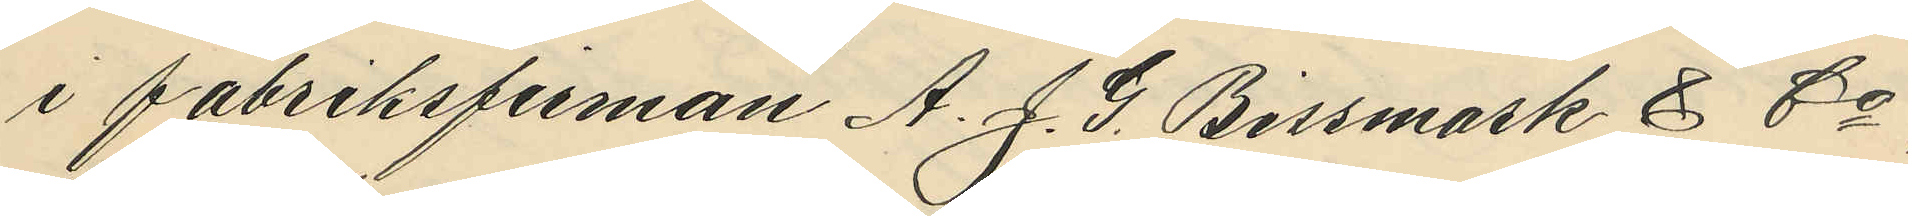i fabriksfirman A. J. G. Bissmark & Co,
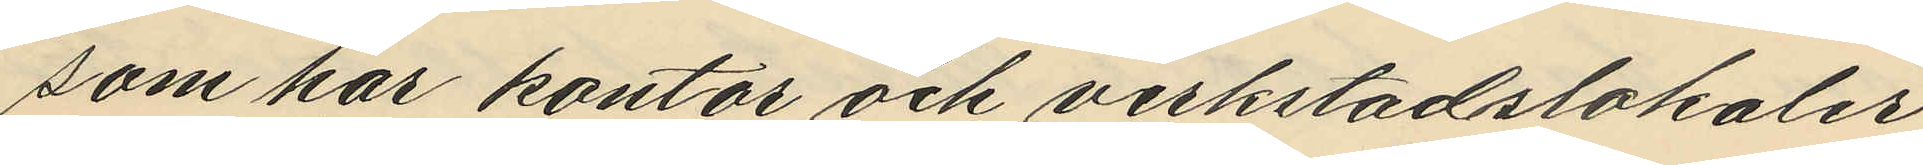som har kontor och verkstadslokaler
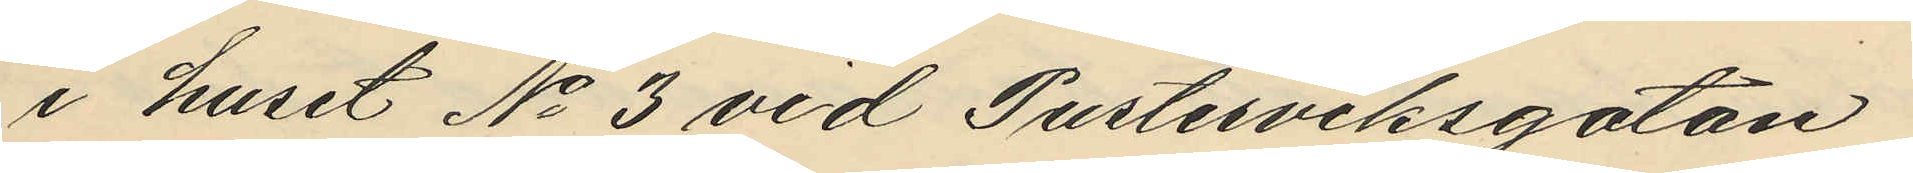i huset No 3 vid Pusterviksgatan
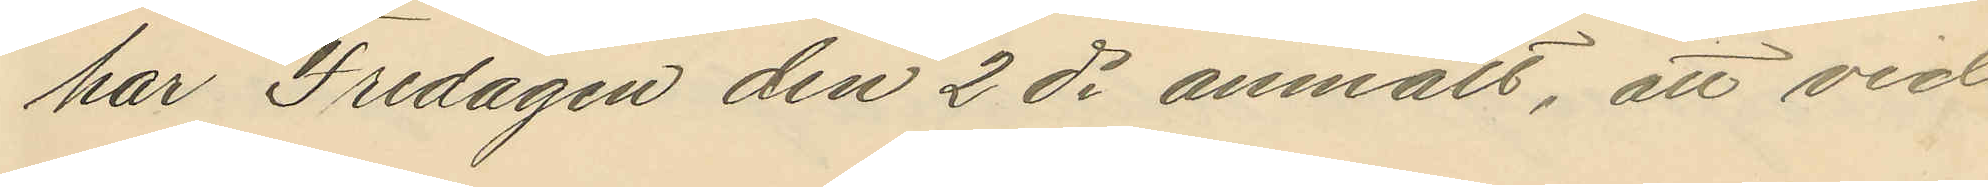har Fredagen den 2 ds anmält, att vid
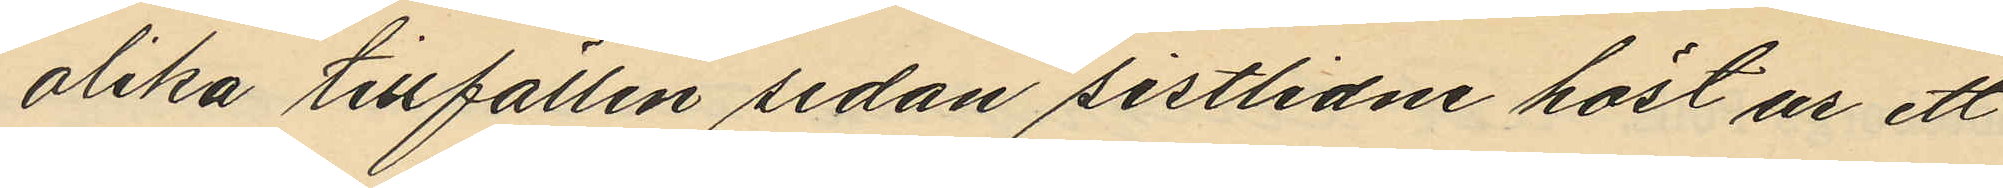olika tillfällen sedan sistlidne höst ur ett
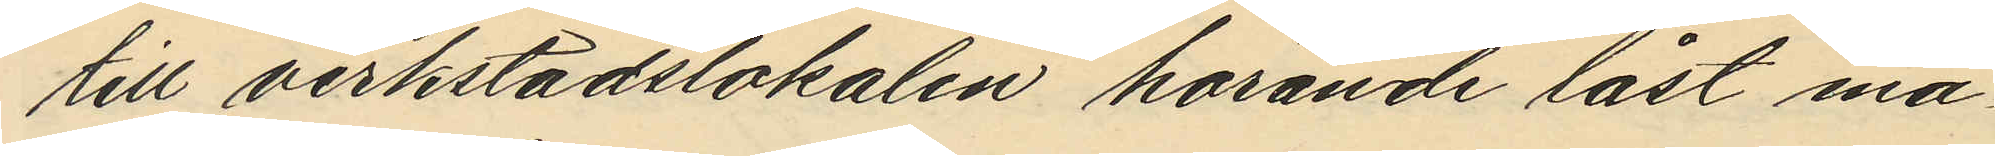till verkstadslokalen hörande låst ma¬
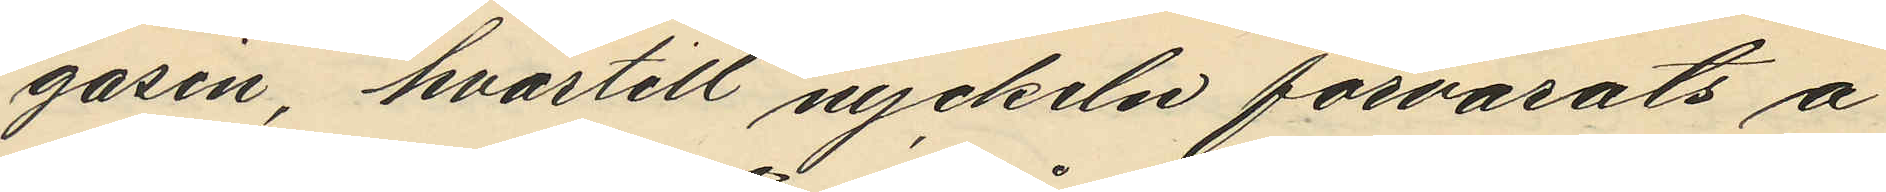gasin, hvartill nyckeln förvarats å
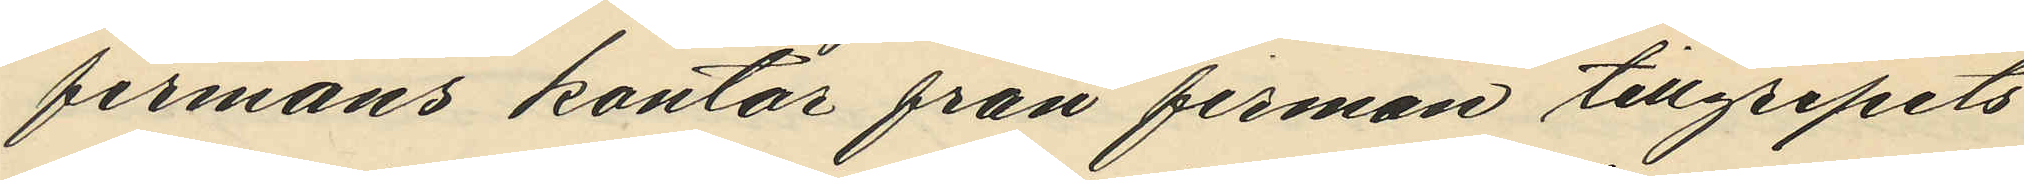firmans kontor från firman tillgripits
